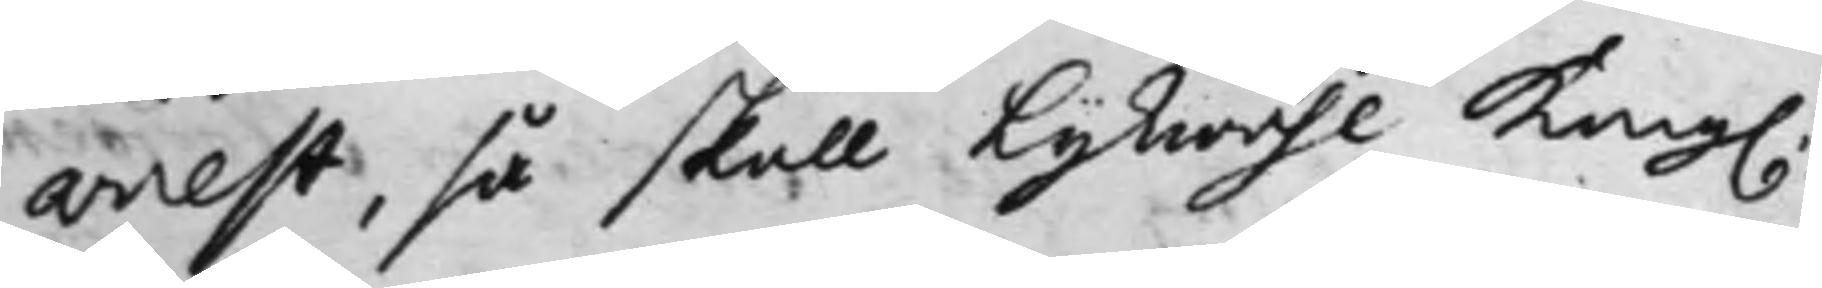arrest, så skall lijkwähl Kong.
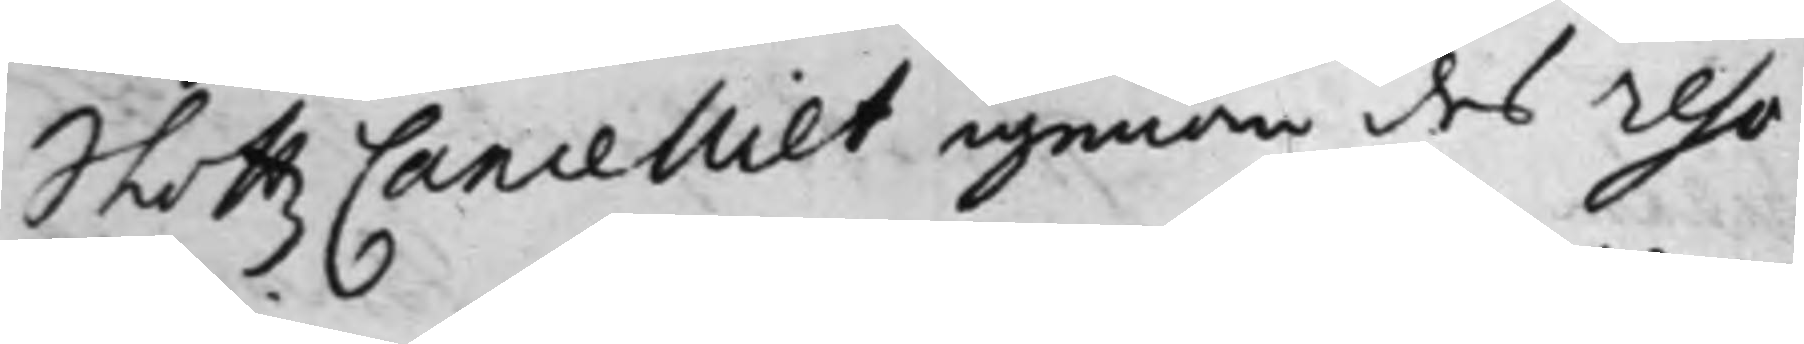Slottz Cancelliet igenom des Reso¬
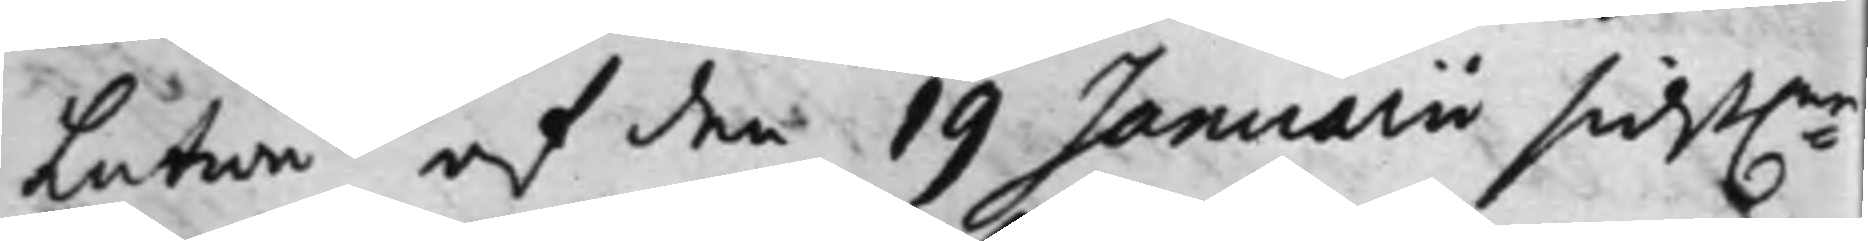lution af den 19 Januarii sidst:ne
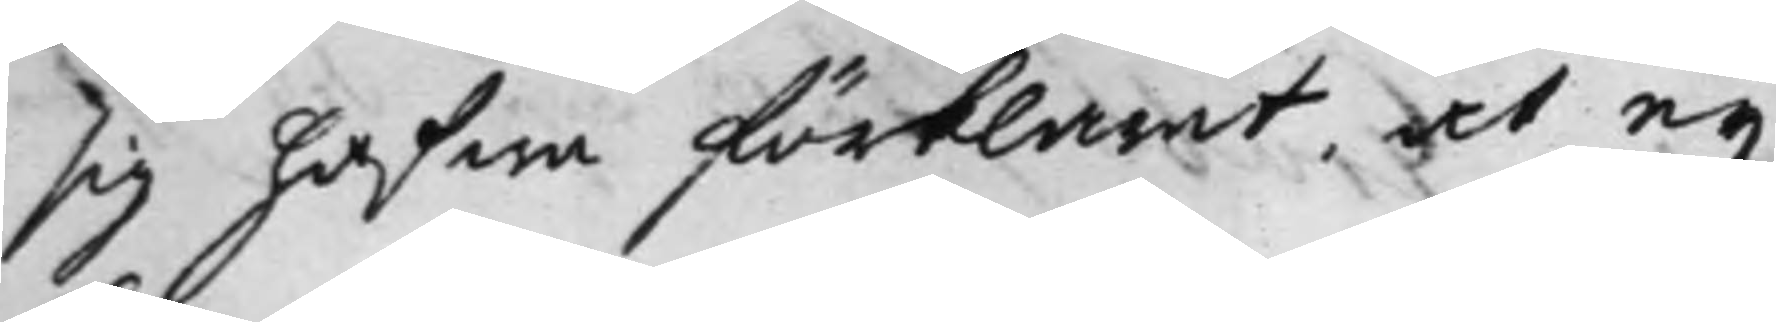sig hafwa förklarat, at ey
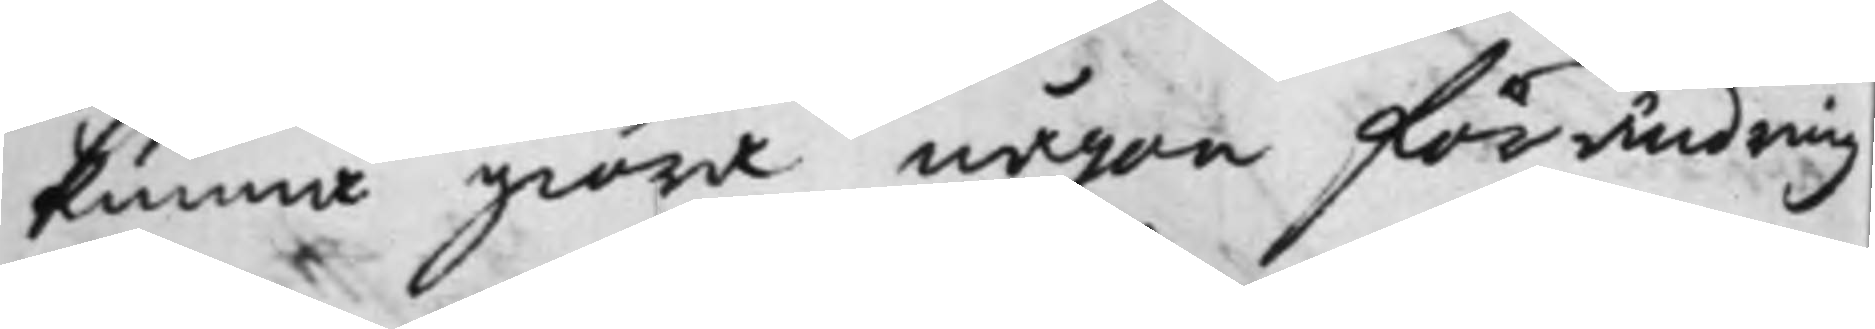kunna giöra någon förändring
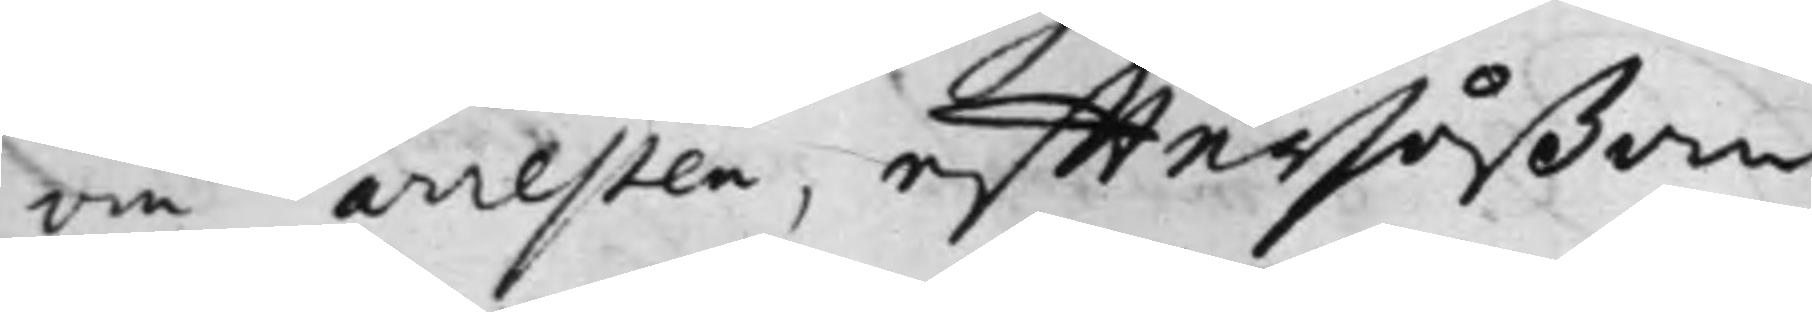om arresten, efftersåßom
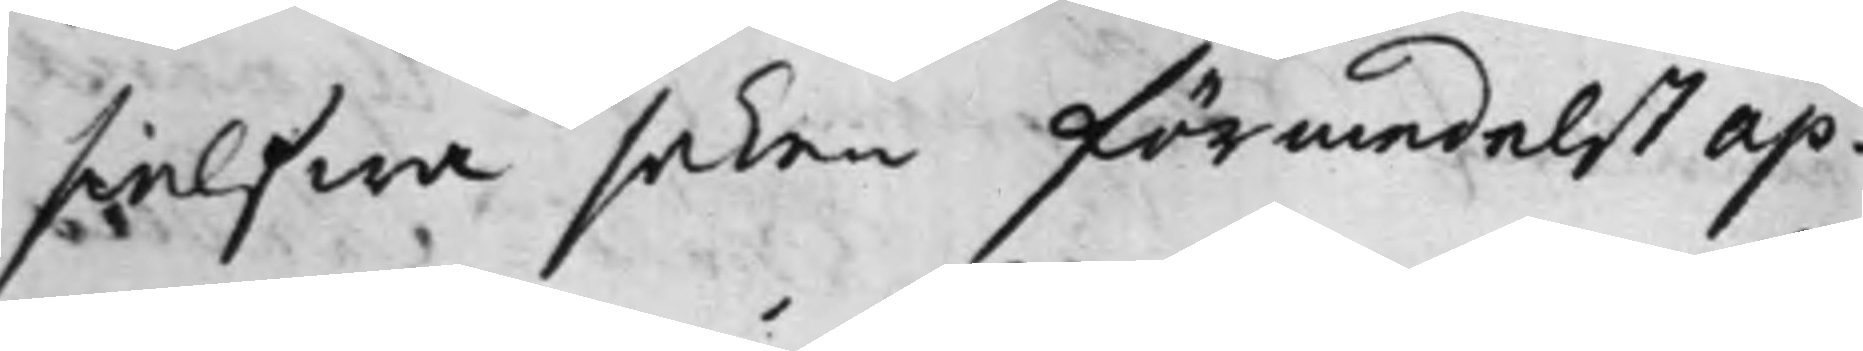sielfwa saken förmedelst ap¬
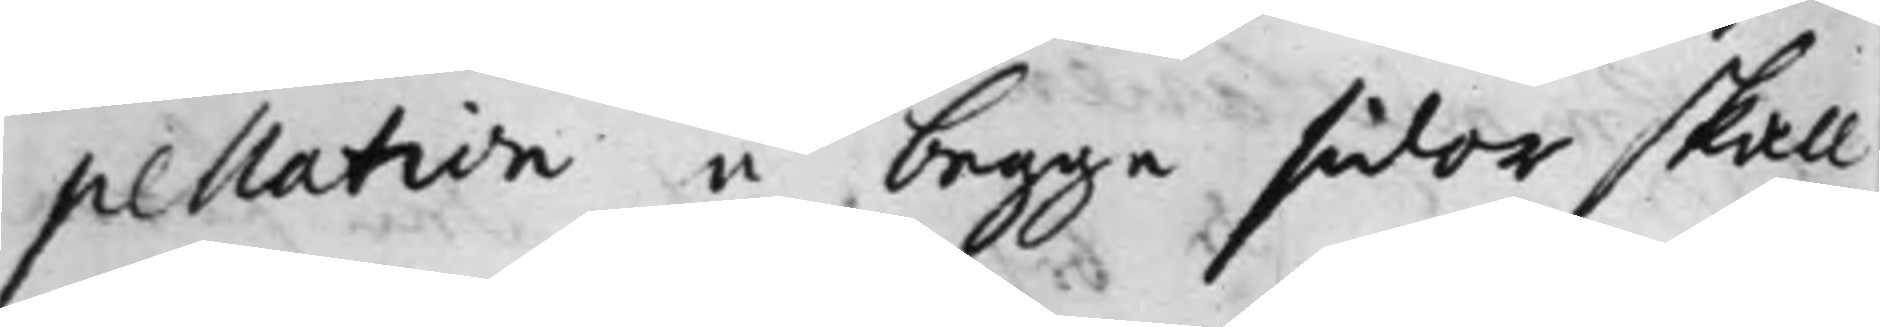pellation å begge sidor skall
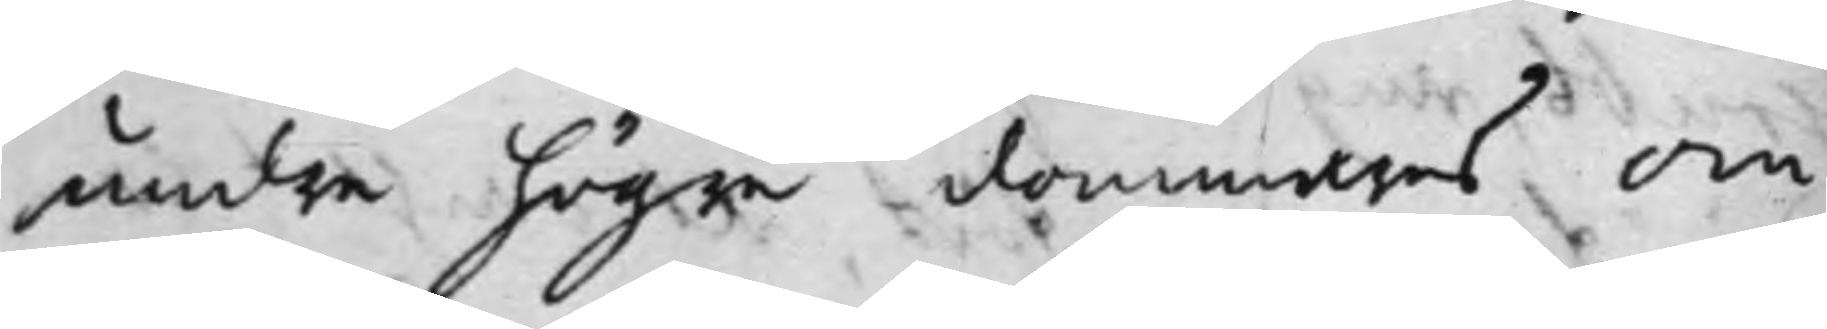undre högre dommares om¬
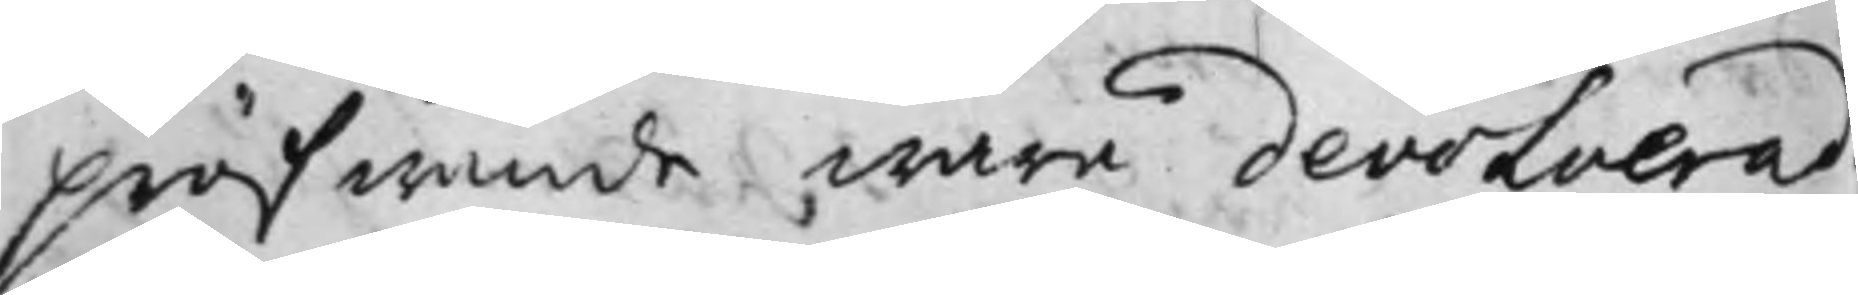pröfwande wara devolverad
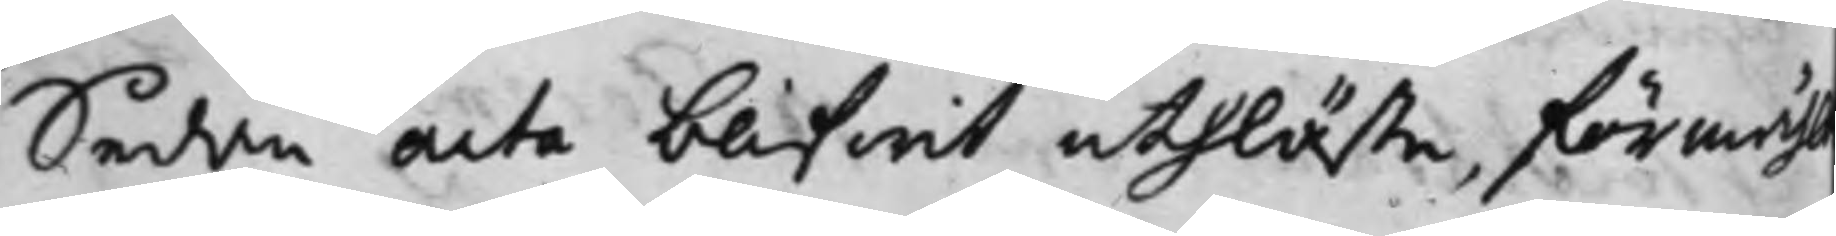Sedan acta blifwit uthläste, förmähl
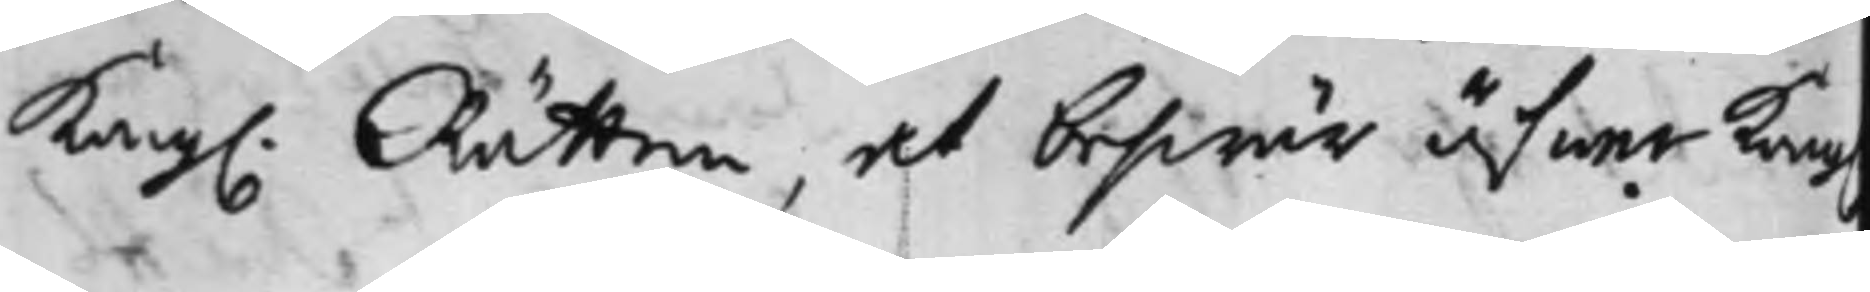Kong. Rätten, at beswär öfwer Kong
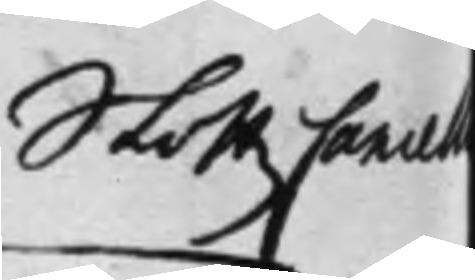Slottz Cancell
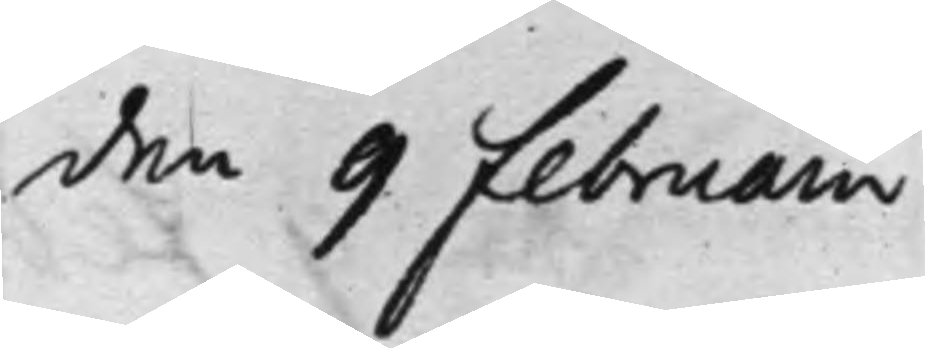den 9 Februarii
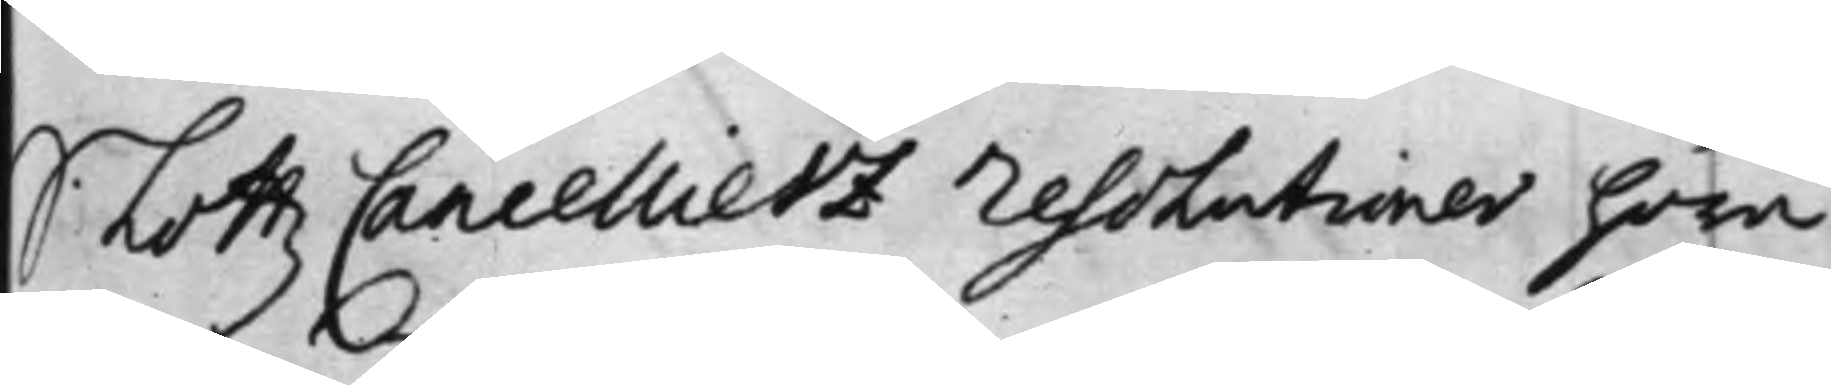Slottz Cancelliets Resolutioner höra
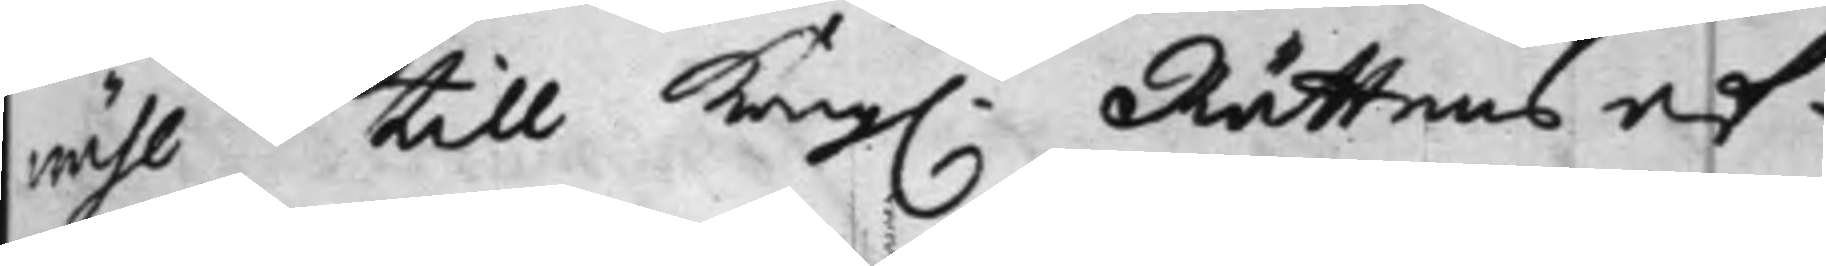wähl till Kong. Rättens af¬
